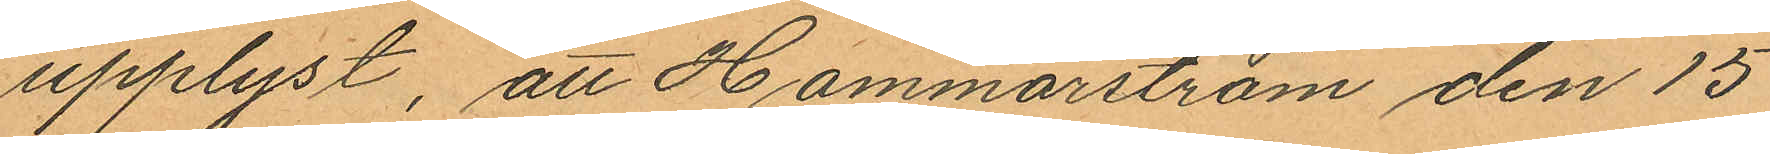upplyst, att Hammarström den 15
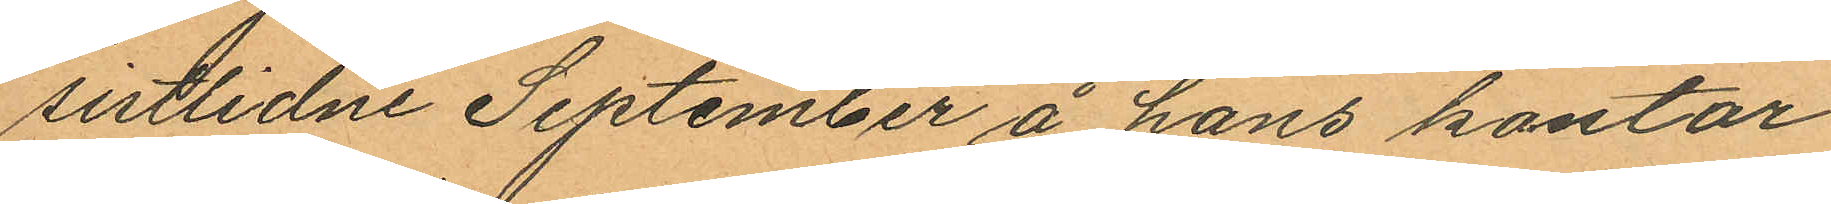sistlidne September å hans kontor
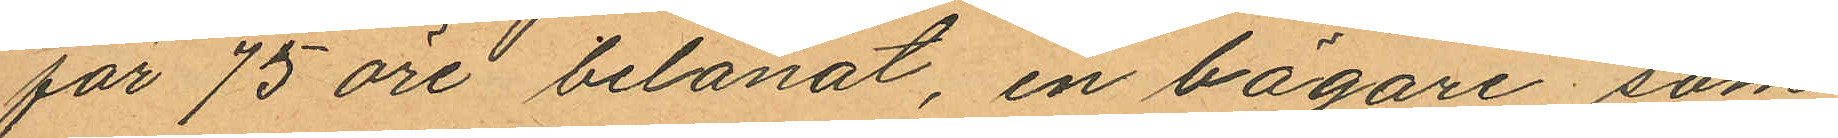för 75 öre belånat, en bägare som
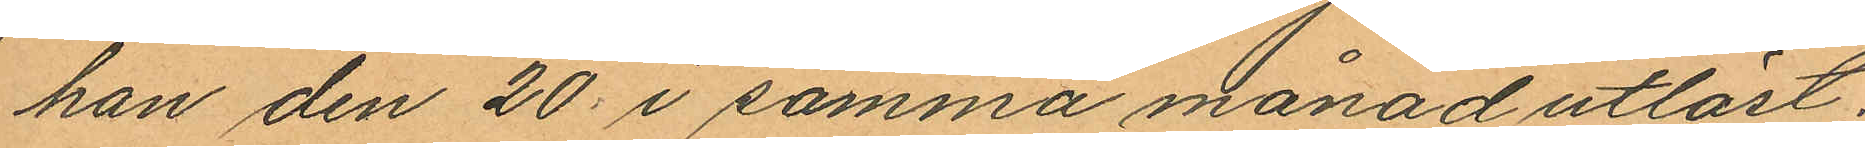han den 20 i samma månad utlöst;
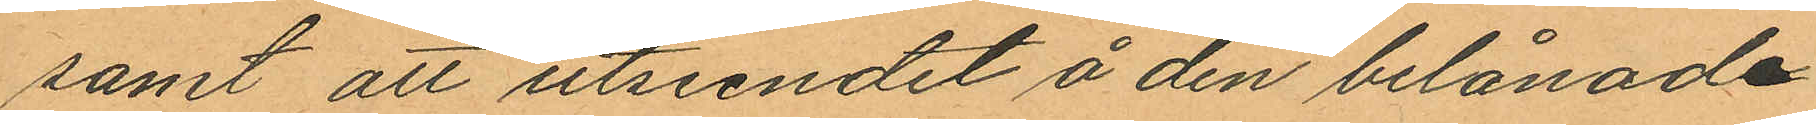samt att utseendet å den belånade
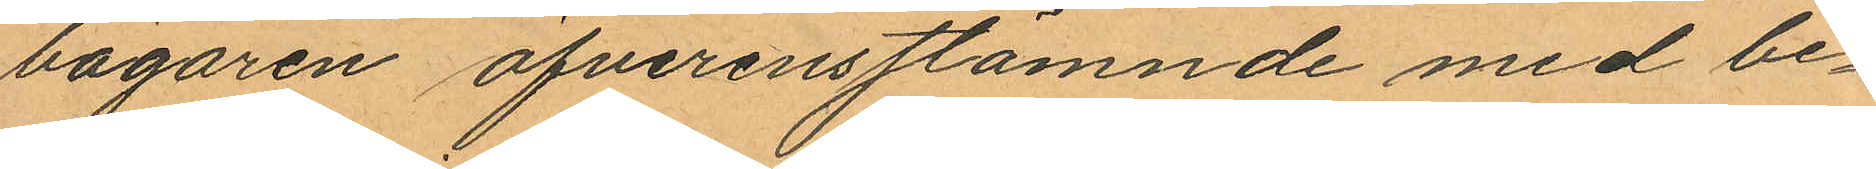bägaren öfverensstämnde med be¬
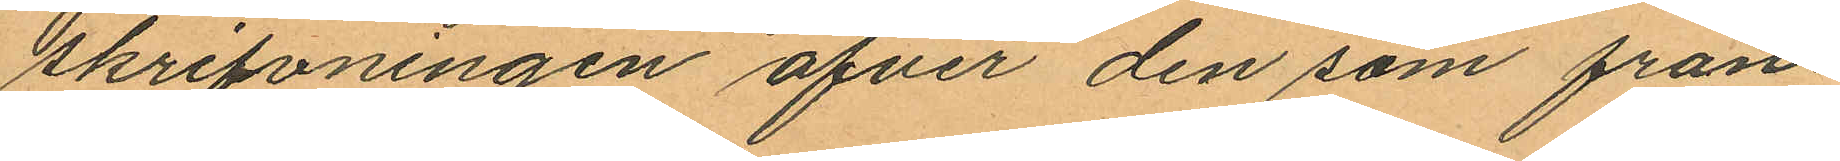skrifvningen öfver den som från¬
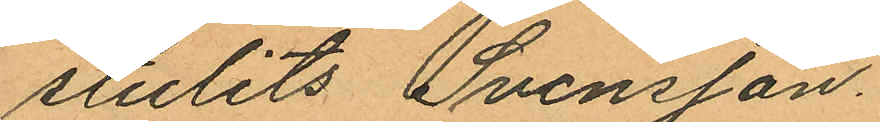stulits Svensson.
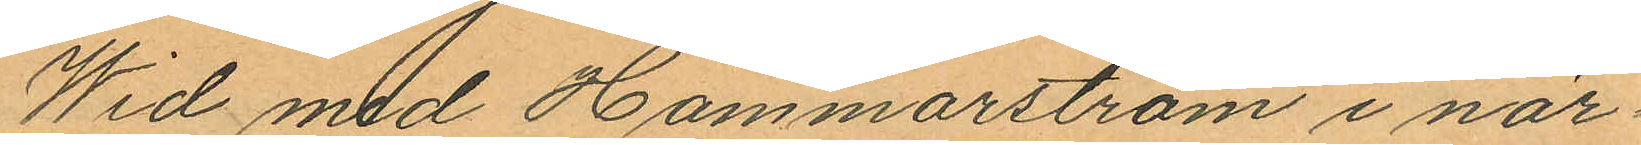Wid med Hammarström i när¬
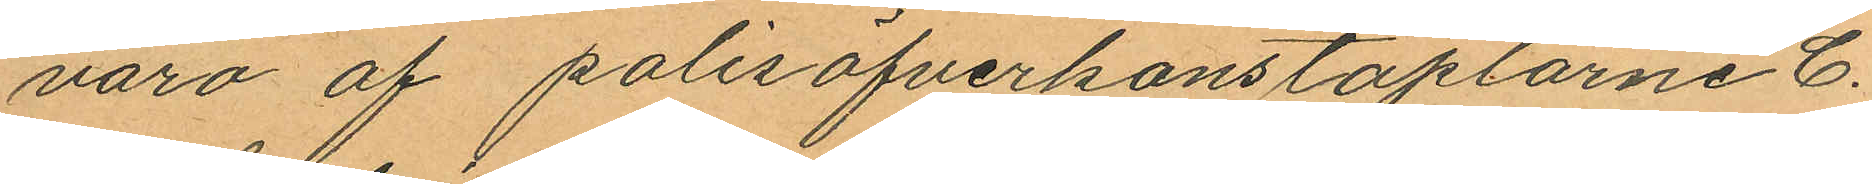varo af polisöfverkonstaplarne C.
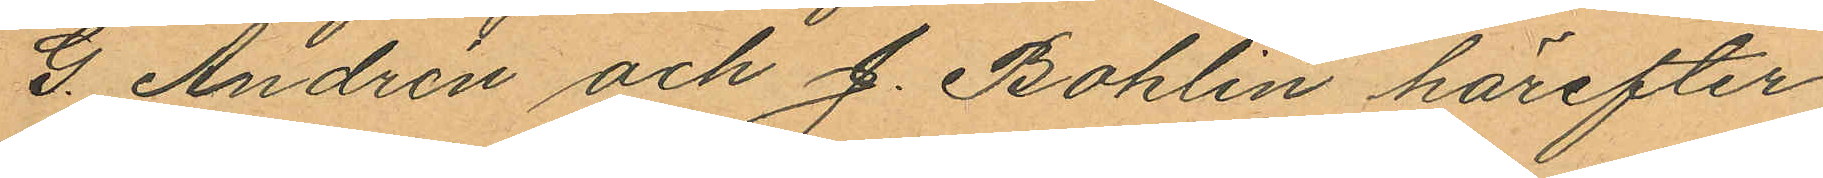G. Andrén och J. Bohlin härefter
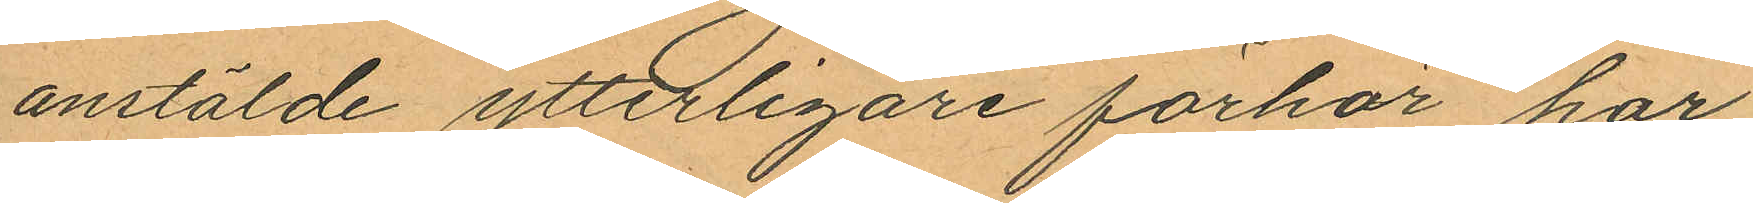anstälde ytterligare förhör har
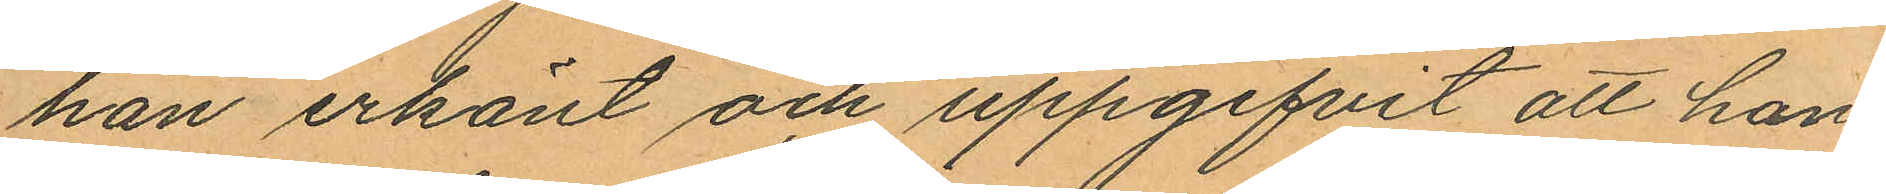han erkänt och uppgifvit att han
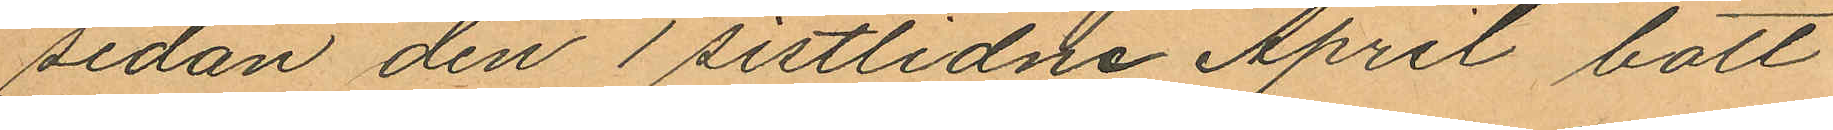sedan den 1 sistlidne April bott
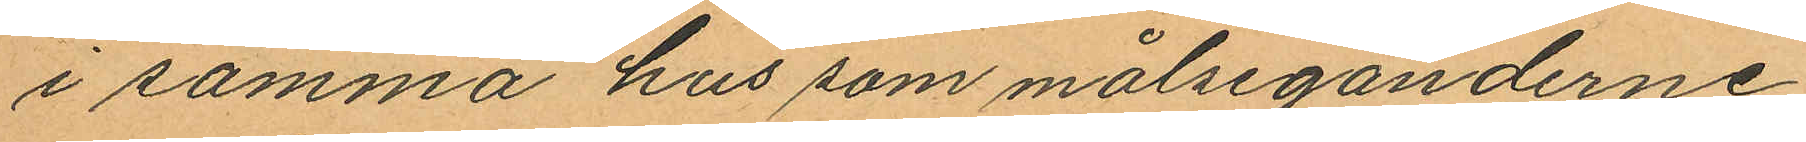i samma hus som målseganderne;
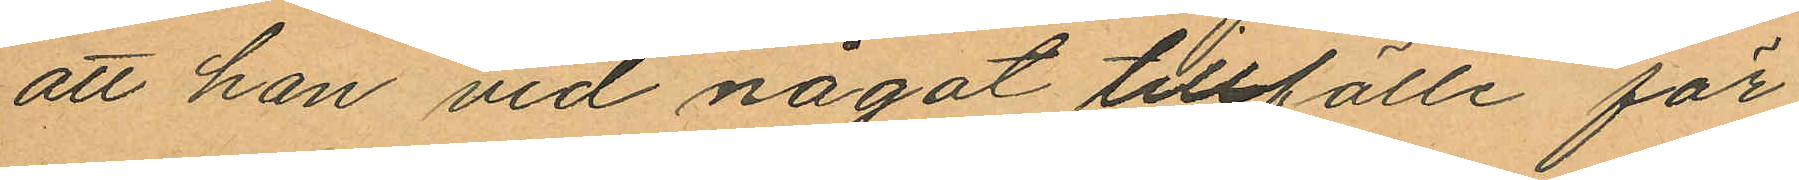att han vid något tillfälle för
